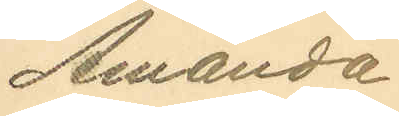Amanda
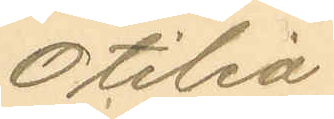Otilia
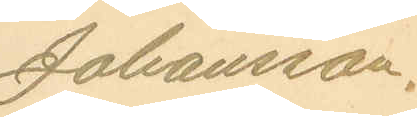Johansson.
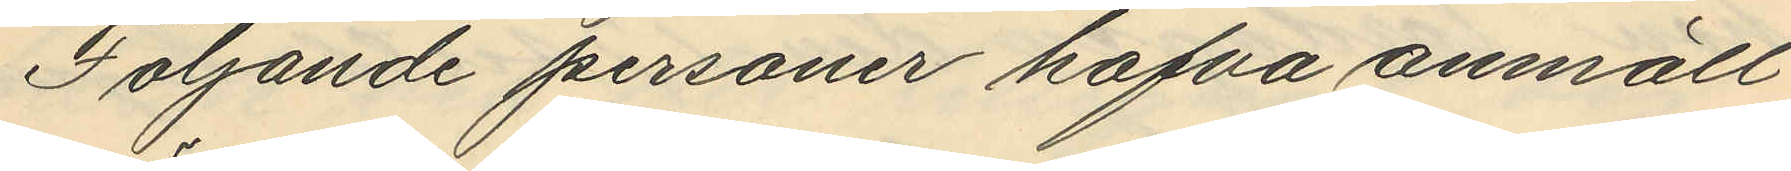Följande personer hafva anmält
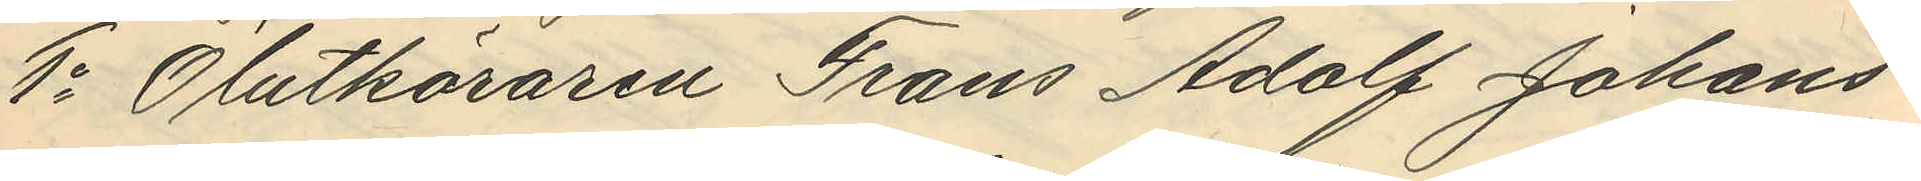1o Ölutköraren Frans Adolf Johans¬
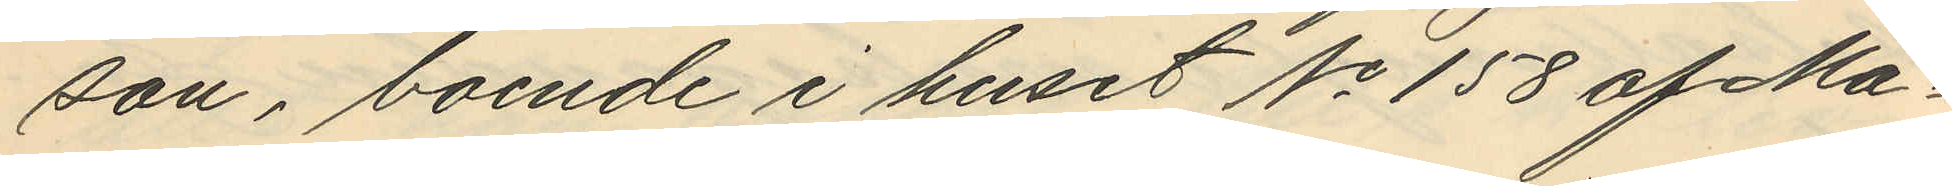son, boende i huset No 158 af Ma¬
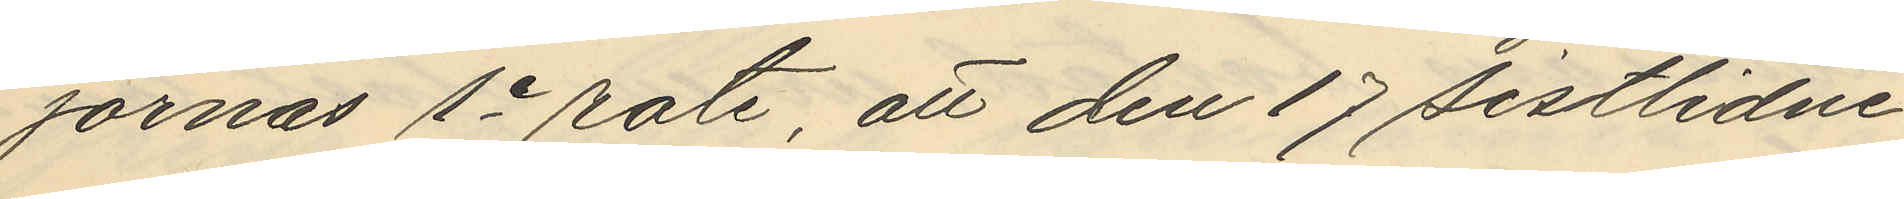jornas 1e rote, att den 17 sistlidne
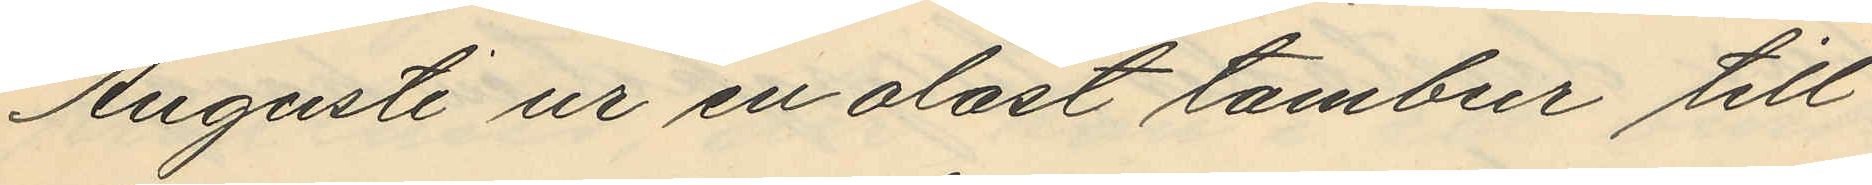Augusti ur en olåst tambur till
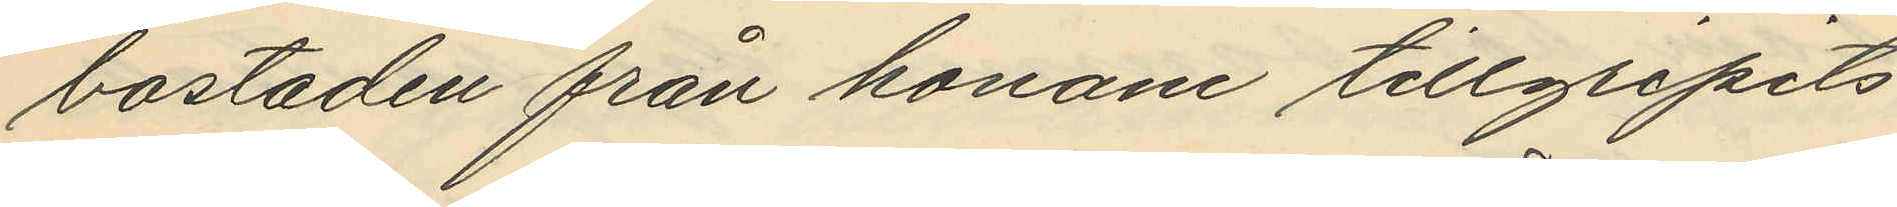bostaden från honom tillgripits
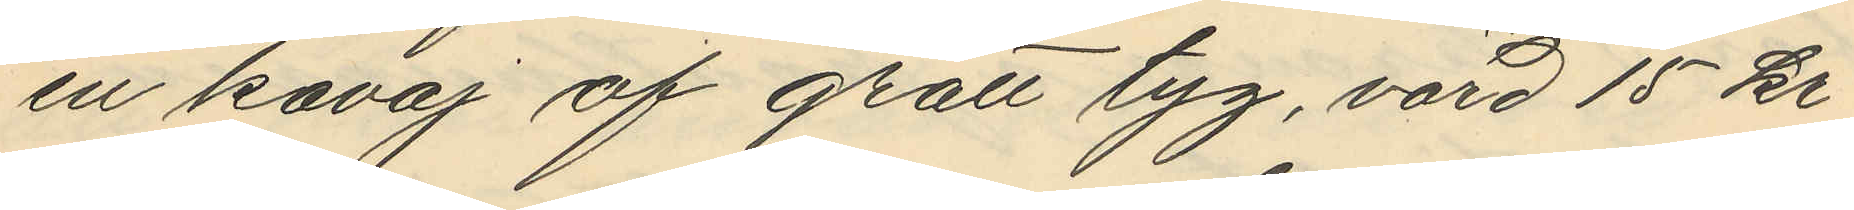en kavaj af grått tyg, värd 15 kr
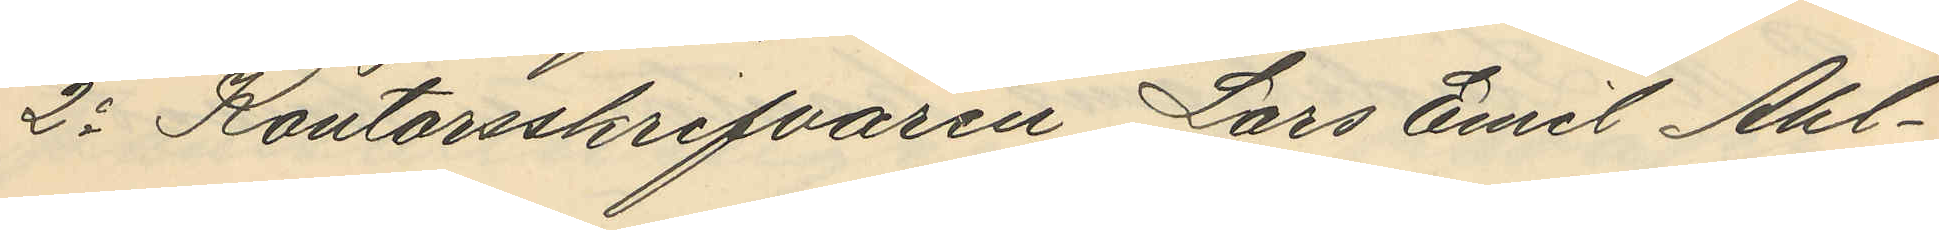2o Kontorsskrifvaren Lars Emil Ahl¬
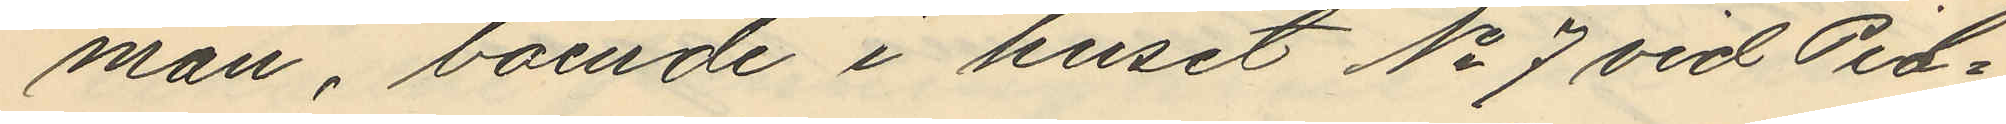man, boende i huset No 7 vid Pil¬
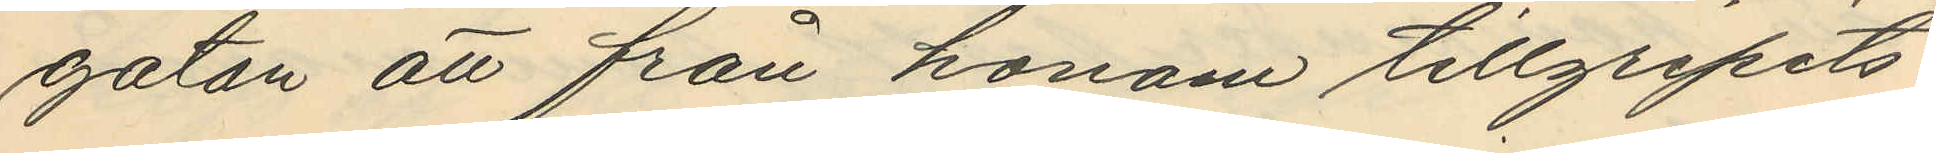gatan att från honom tillgripits
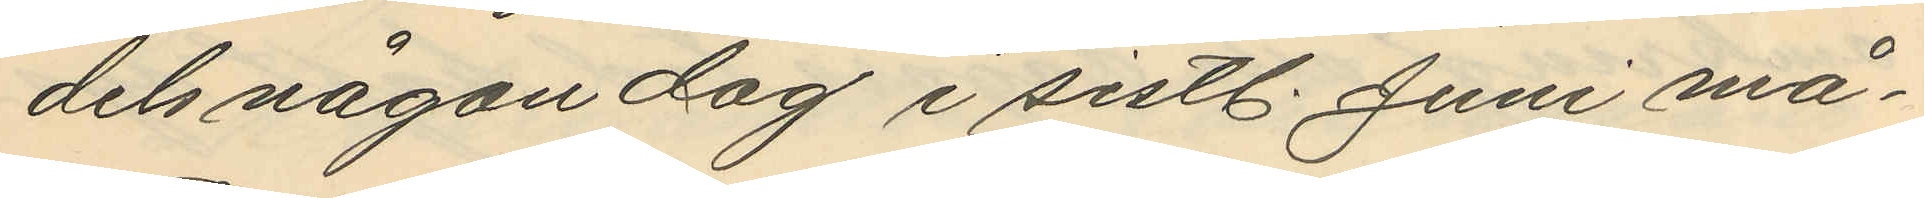dels någon dag i sistl. Juni må¬
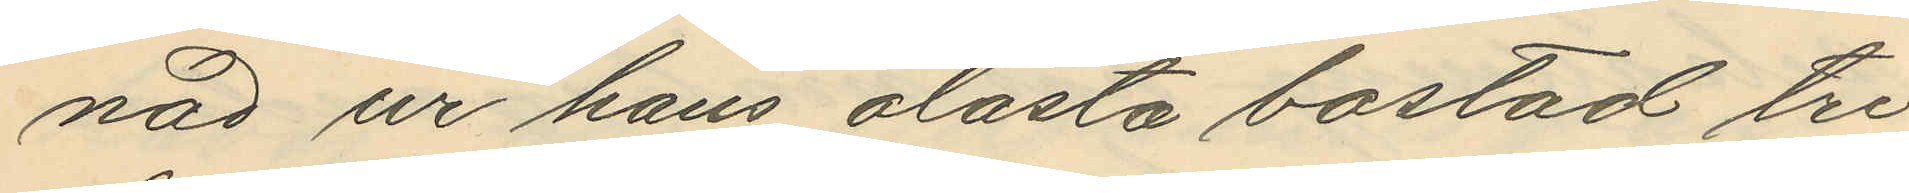nad ur hans olåsta bostad tre
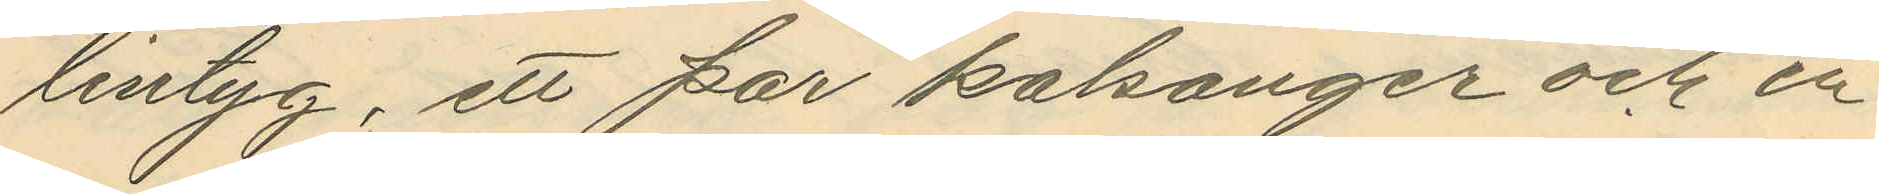lintyg, ett par kalsonger och en
